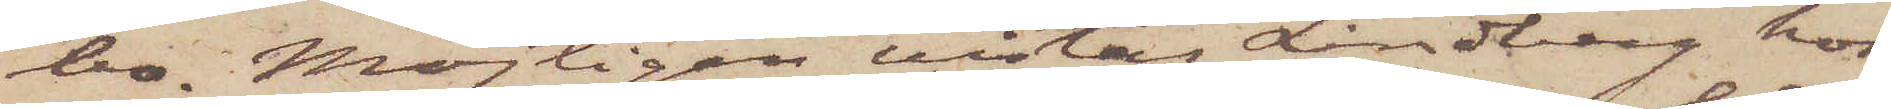bo. Möjligen vistas Lindberg hos
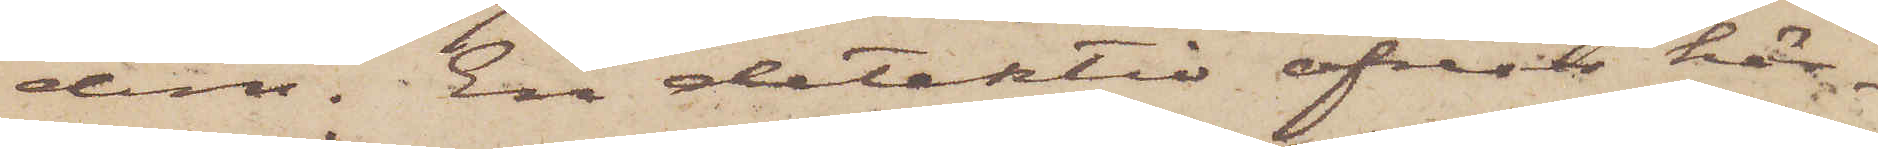dem. En detektiv afrest här¬
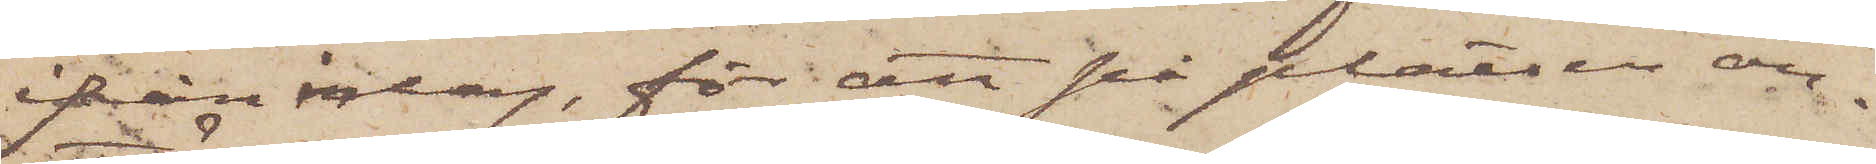ifrån idag, för att på platsen an¬
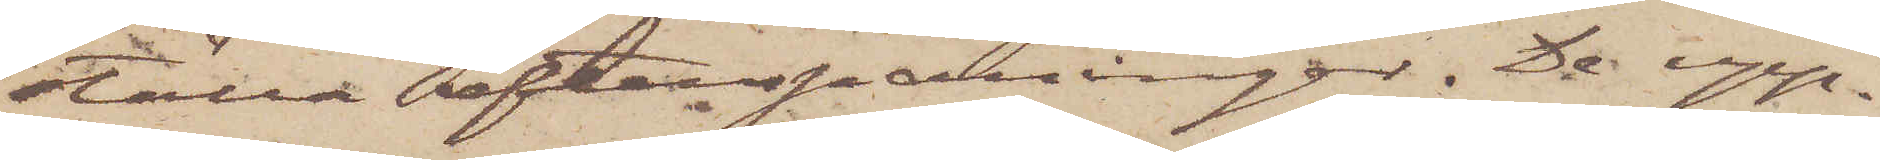ställa efterspaningar. De upp¬
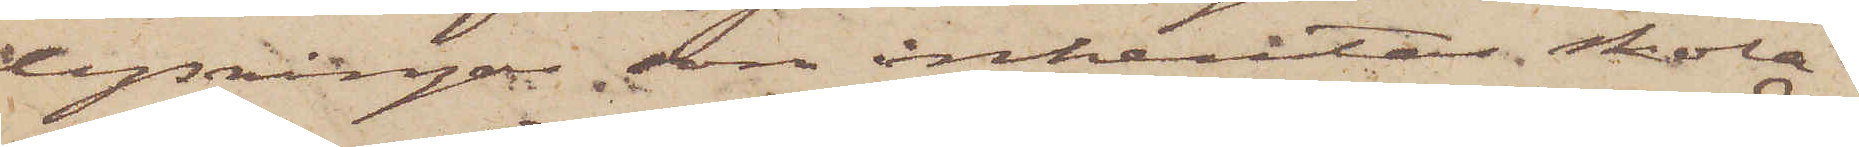lysningar, som inhemtas skola
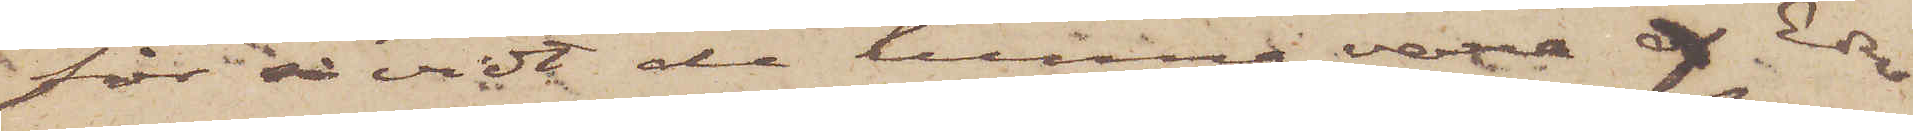för så vidt de kunna vara af Eder
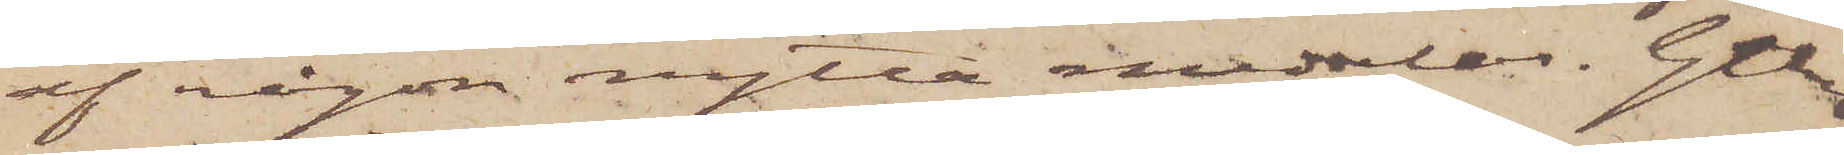af någon nytta meddelas. Gtbrg
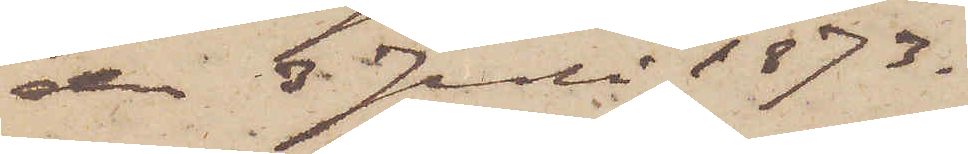den 3 Juli 1873.
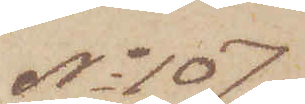No 107.
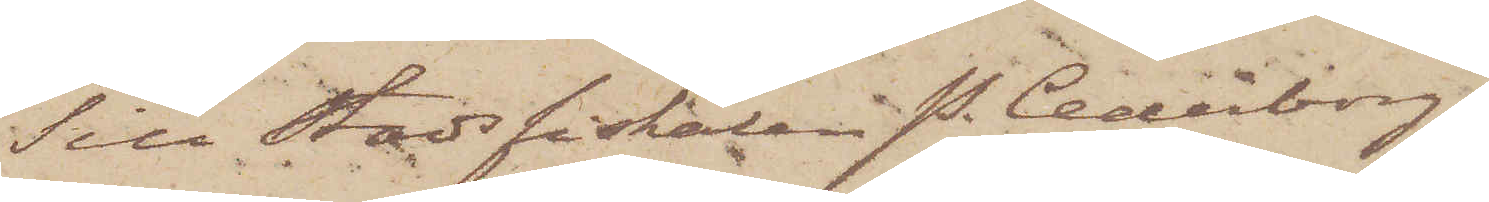Till Stadsfiskalen P. Cederborg
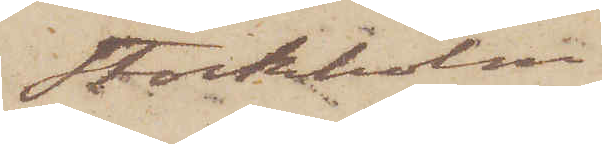Stockholm
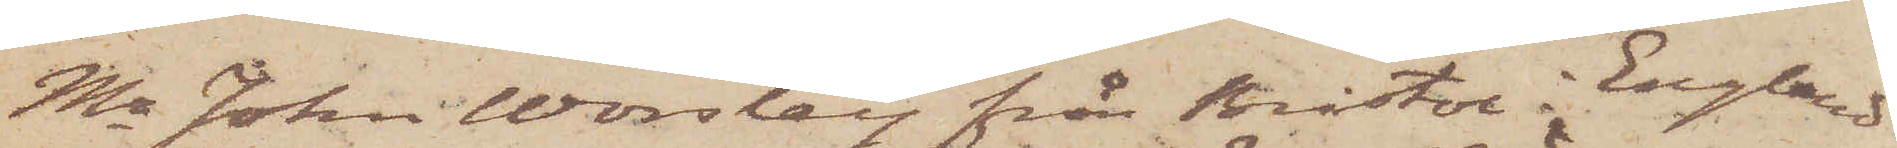Mr John Worsley från Bristol i England
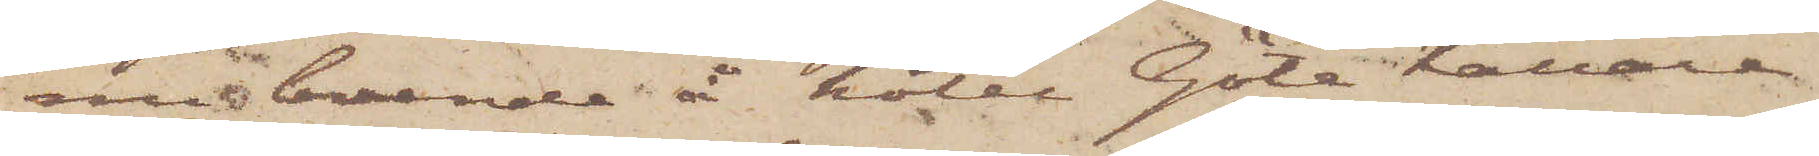nu boende å hotel Göta Källare
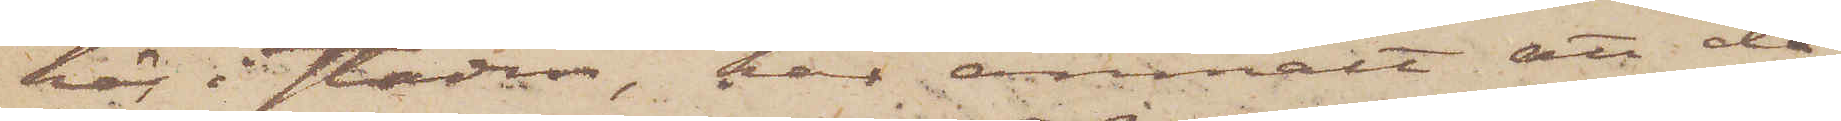här i staden, har anmält att då
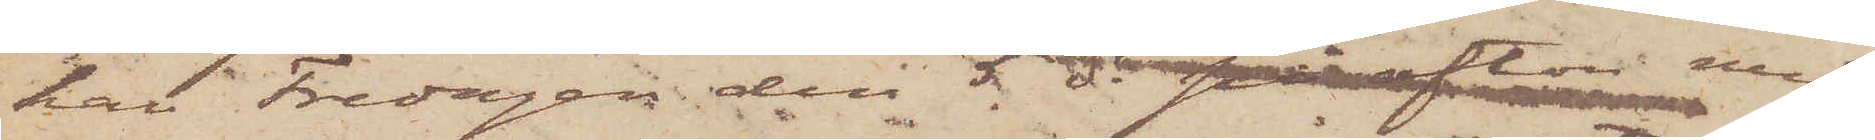han Fredagen den 5 ds på afton med
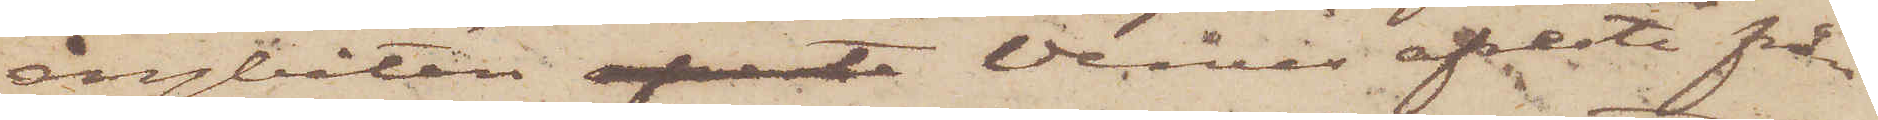ångbåten afreste Venus afreste från
